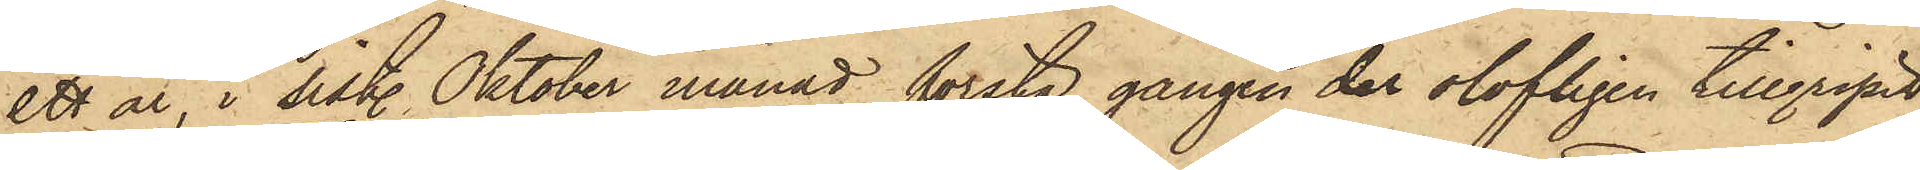ett år, i sist. Oktober månad första gången der olofligen tillgripit
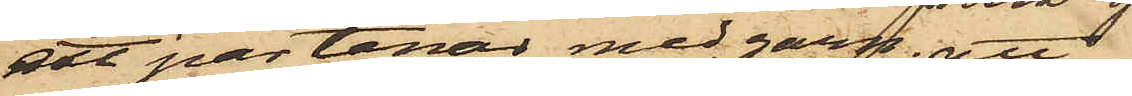ett par tenar med garn; att
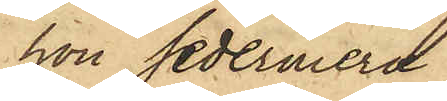hon sedermera
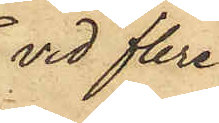vid flera
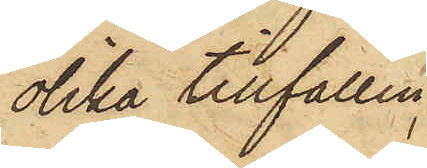olika tillfällen
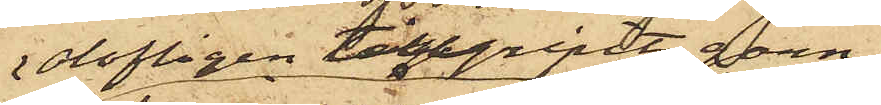olofligen tillgripit garn,
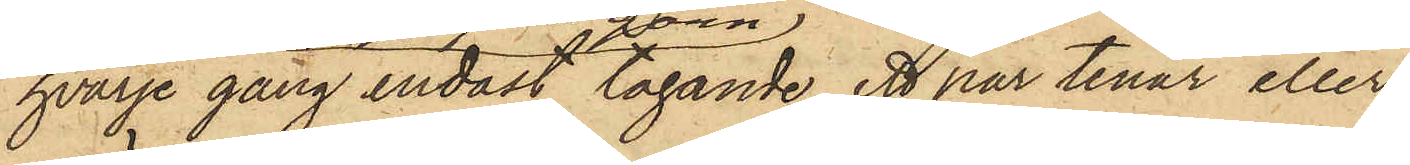hvarje gång endast tagande ett par tenar eller
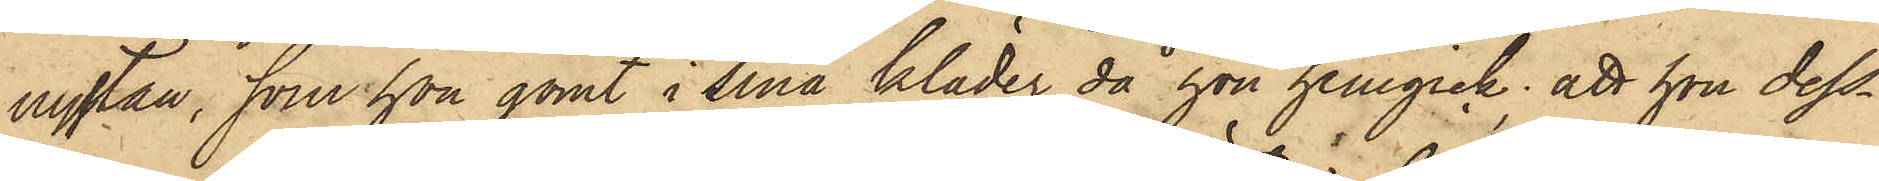nystan, som hon gömt i sina kläder då hon hemgick; att hon dess¬
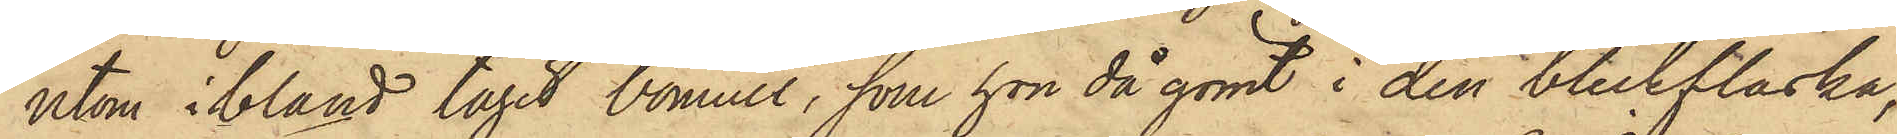utom ibland tagit bomull, som hon då gömt i den bleckflaska,
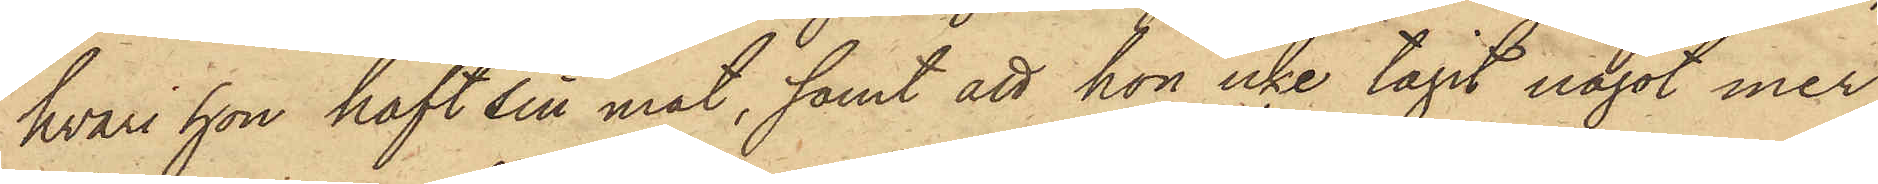hvari hon haft sin mat, samt att hon icke tagit något mer
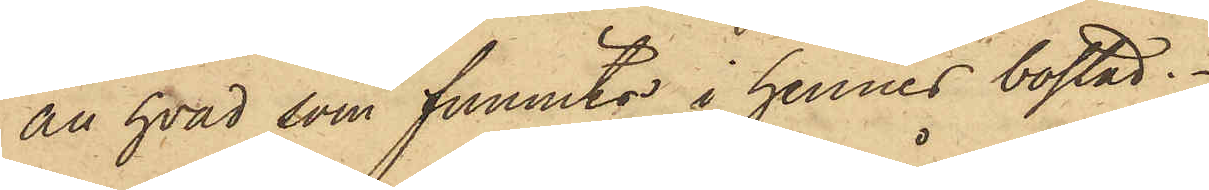än hvad som funnits i hennes bostad.
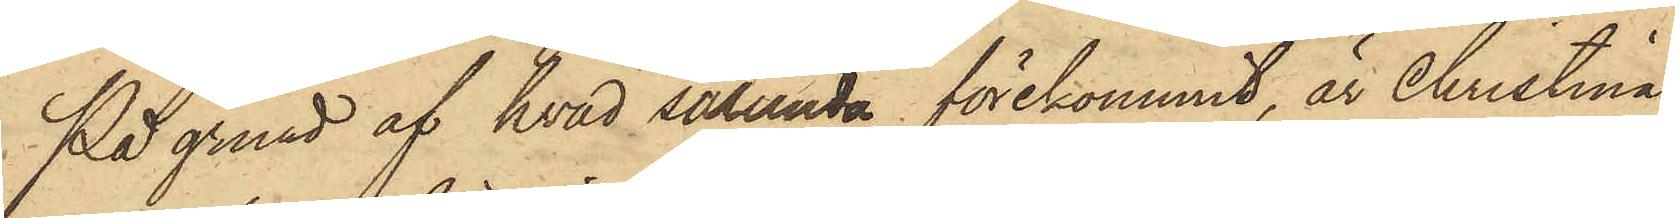På grund af hvad sålunda förekommit, är Christina
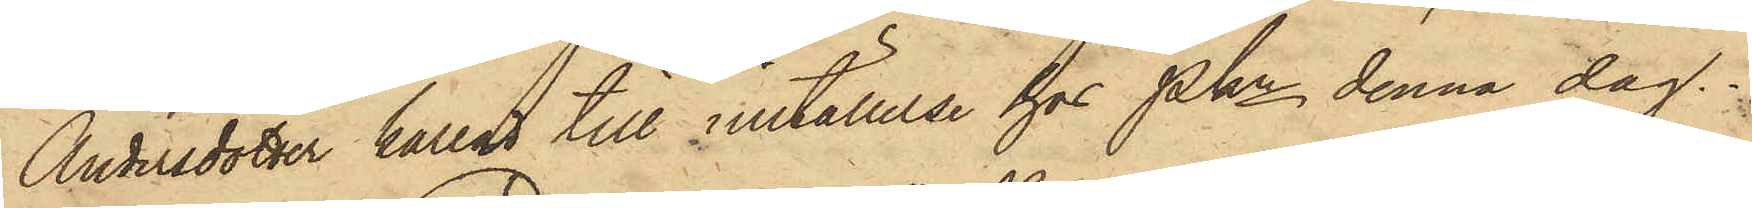Andersdotter kallad till inställelse för Pkn denna dag.
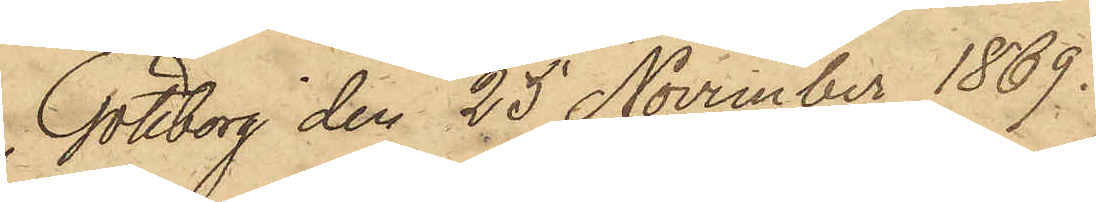Göteborg den 25 November 1869.
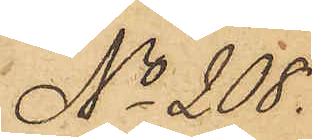No 208.
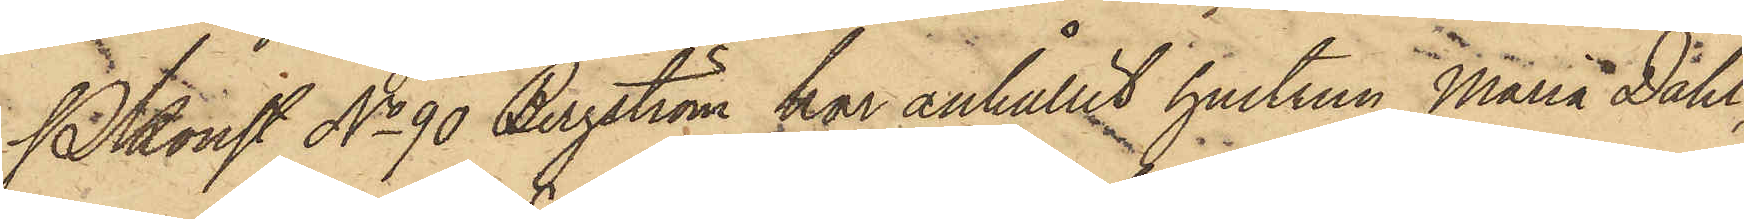Pkonst No 90 Bergström har anhållit hustrun Maria Dahl,
